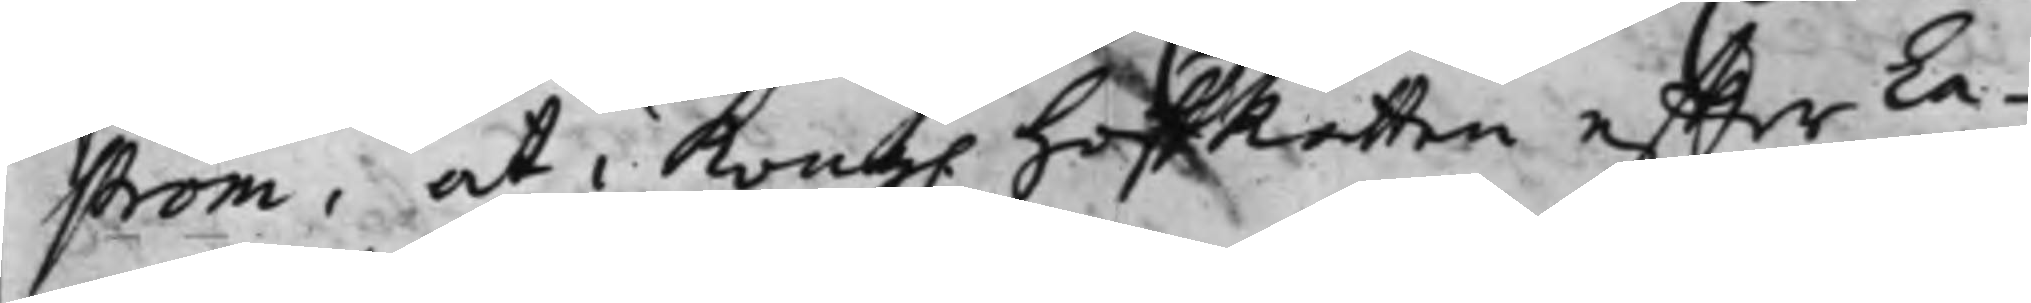ström, att i Kong. HofRätten effter La¬
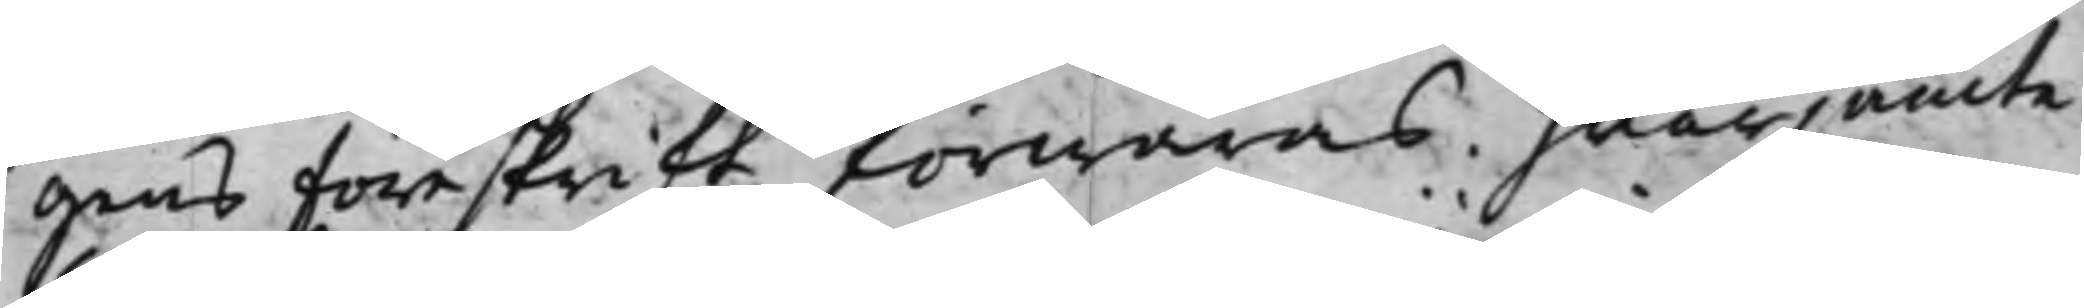gens Föreskrift förwaras. hwarjämte
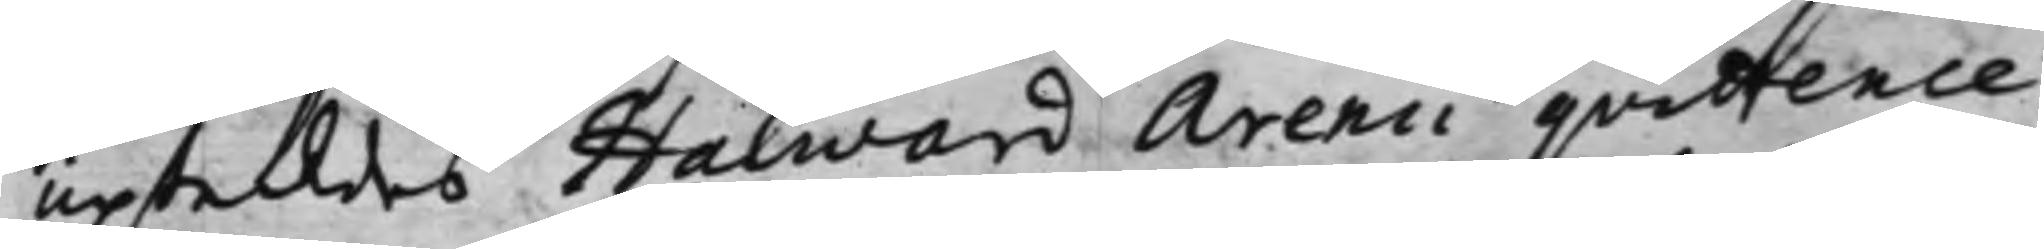upteddes Halward Arenii qvittence
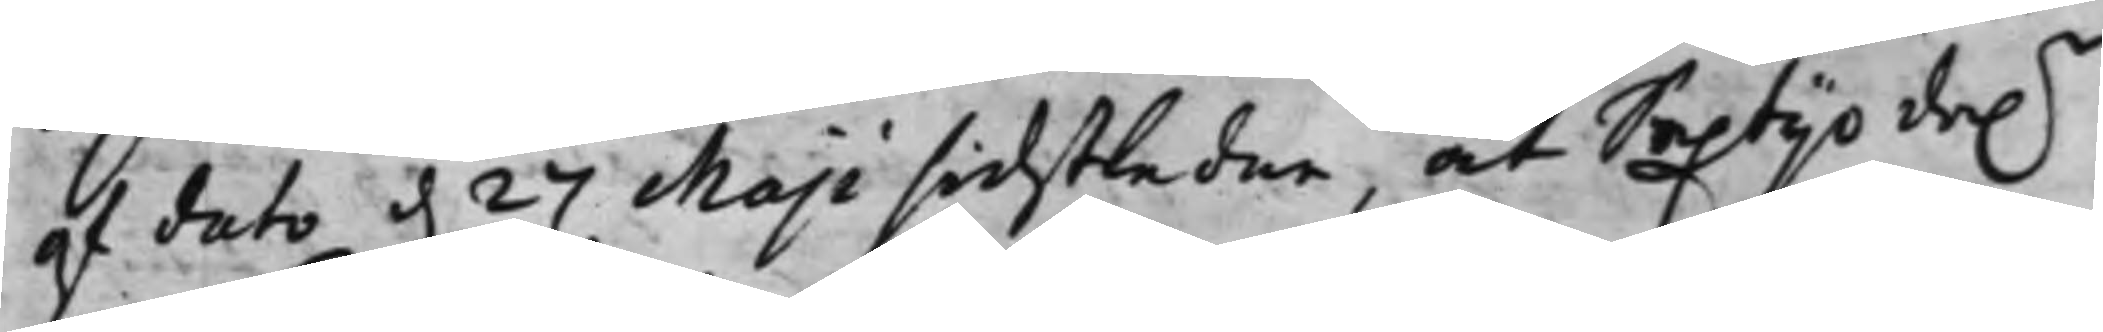af dato d. 27 Maji sidstledne, at Sextijo da.r
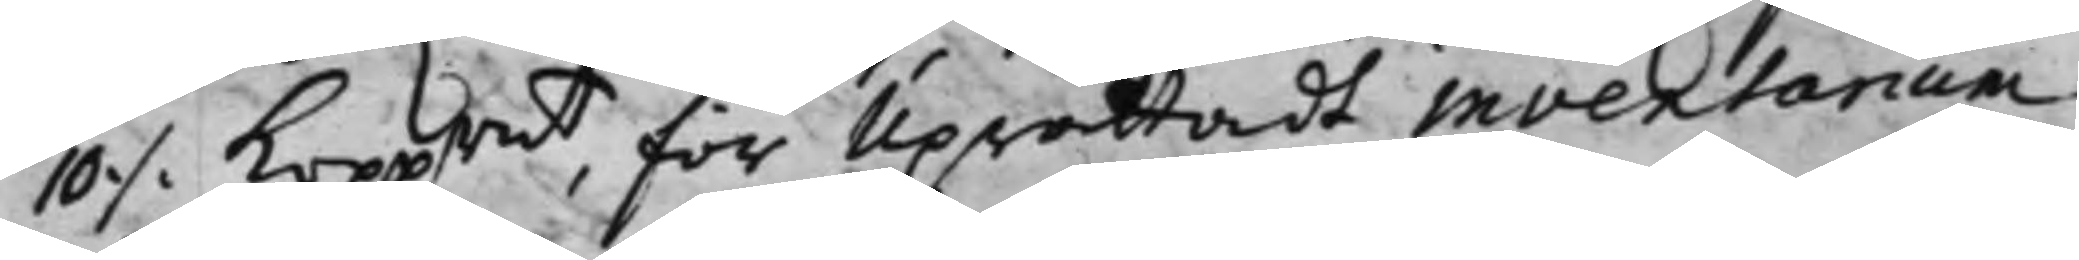10 ./. Kopprmt, för Uprättadt inventarium
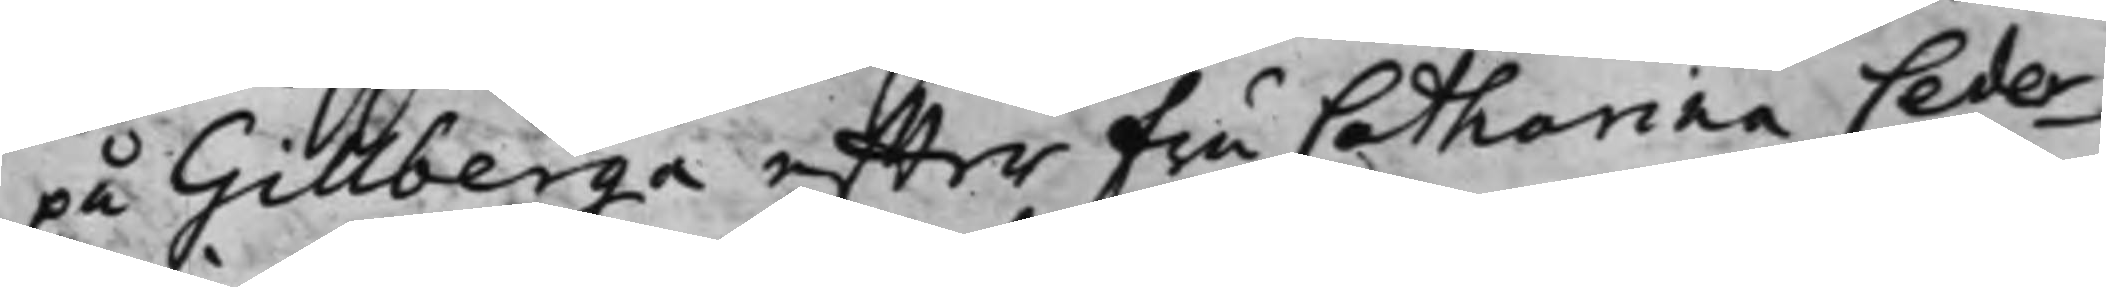på Gillberga effter Fru Catharina Ceder¬
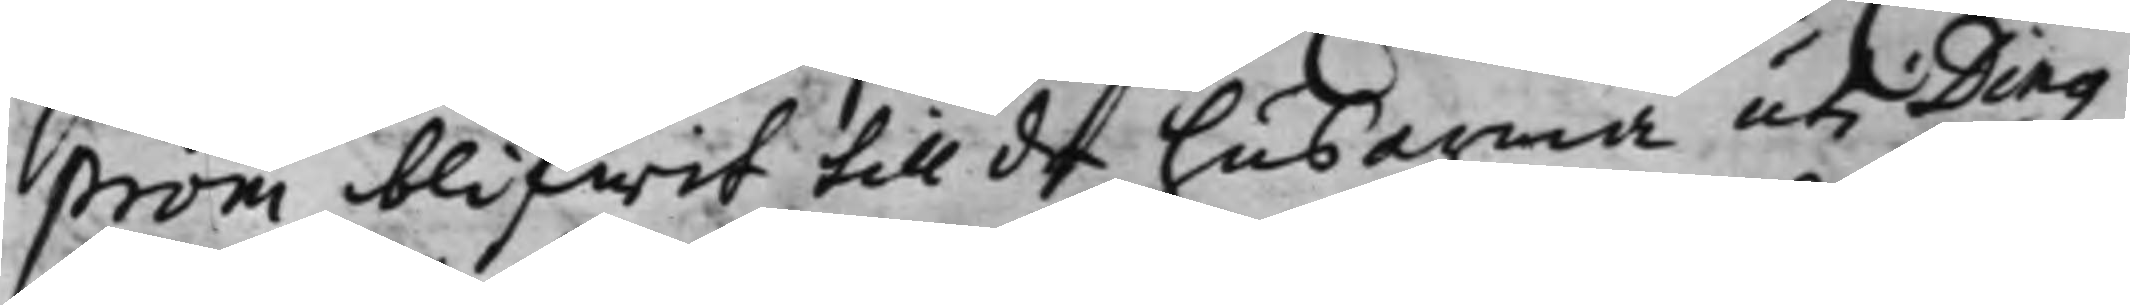ström blifwit till de husarma uti Ding¬
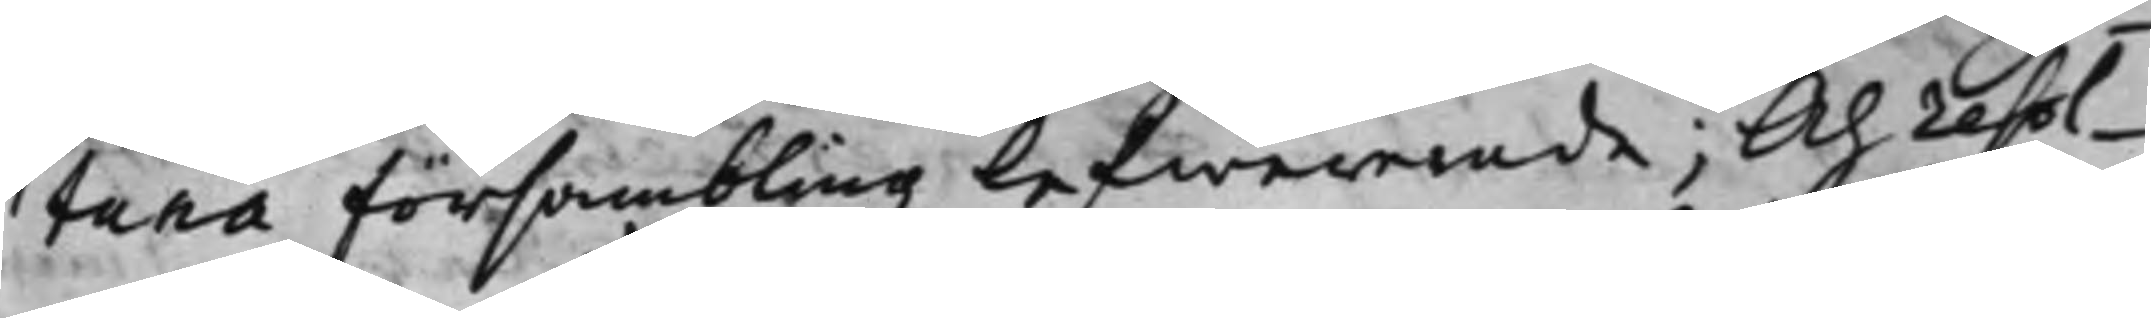tuna försambling Lefwererade; Och resol¬
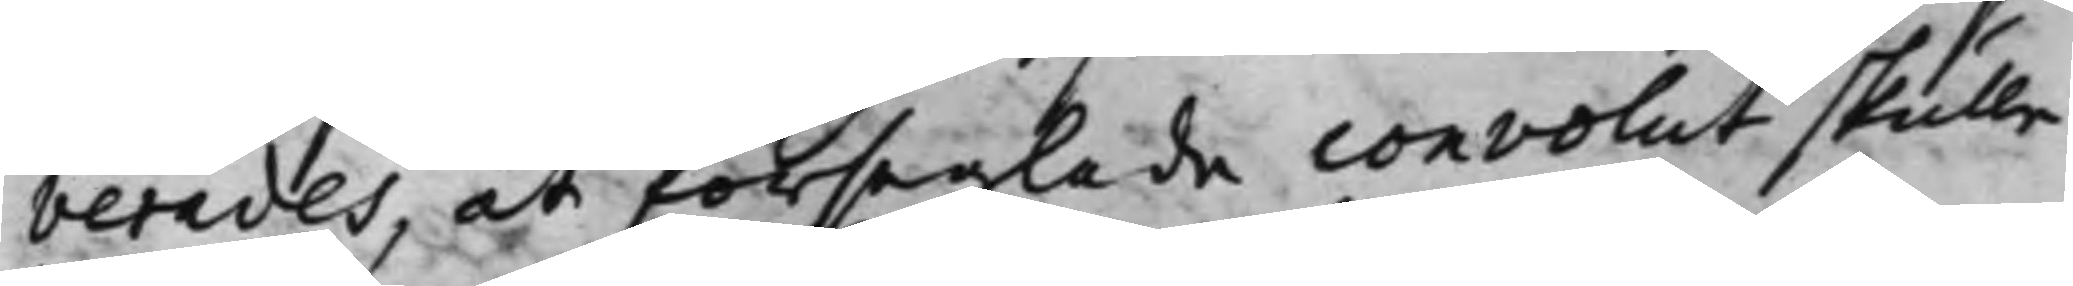verades, at förseglade convolut skulle
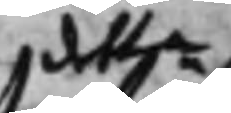detta
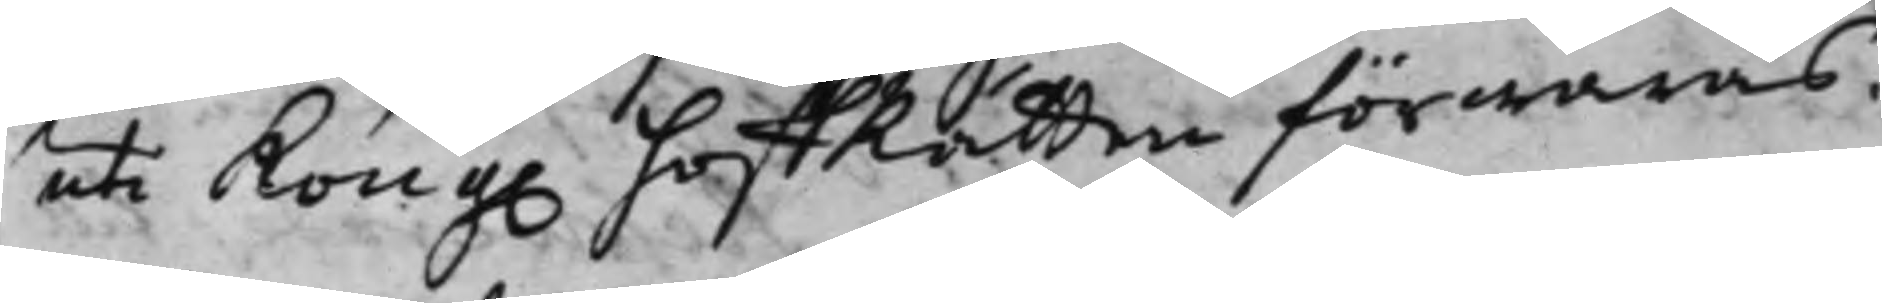uti Kong. HoffRätten förwaras.
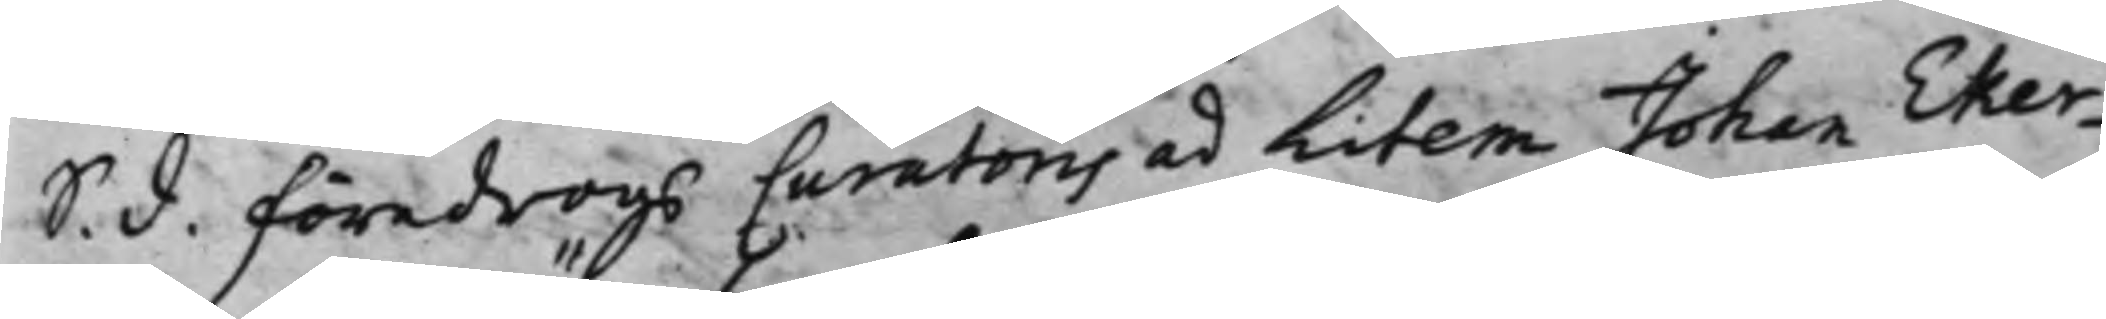S. d. föredrogs Curatoris ad Litem Johan Eker¬
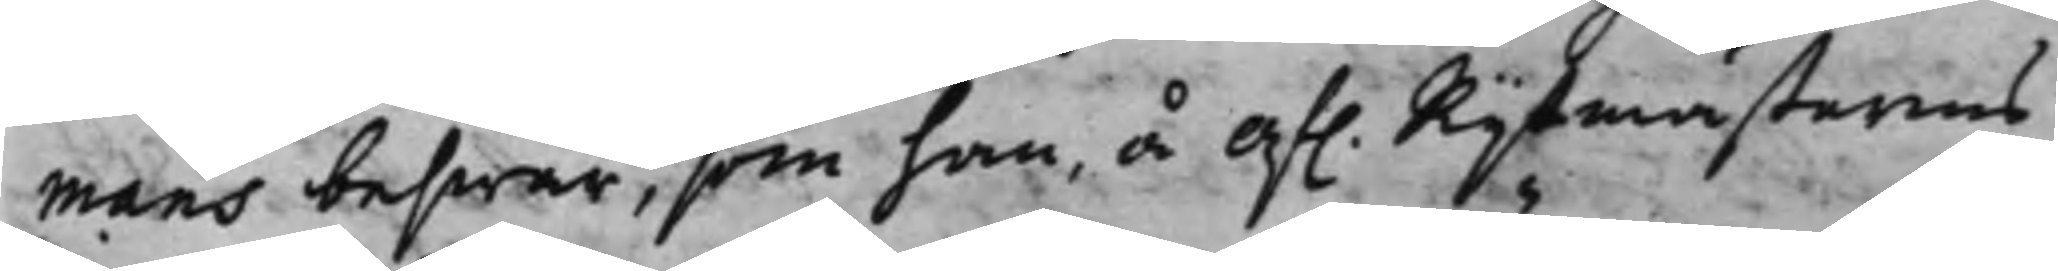mans beswär, som han å af. Ryttmästarens
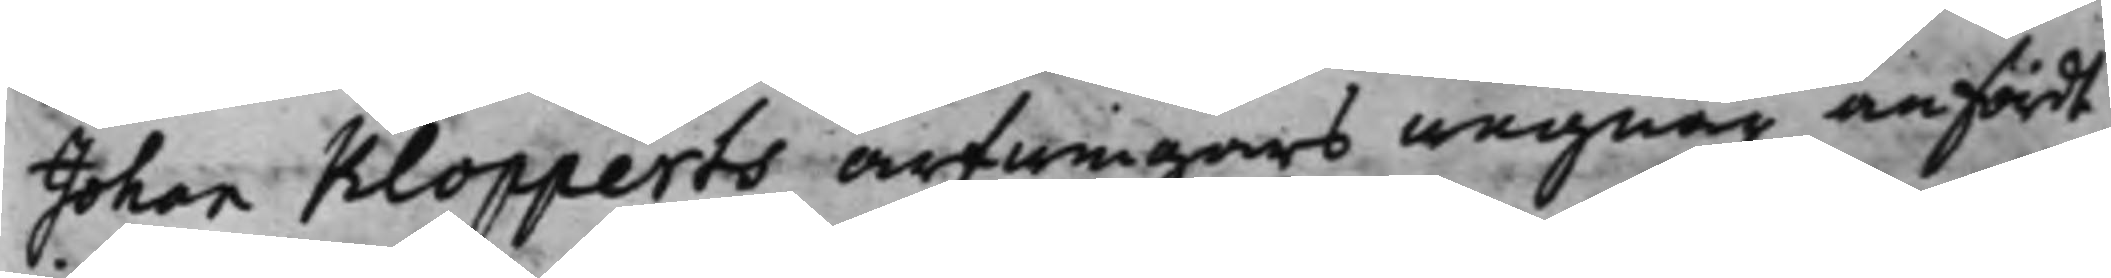Johan Klopperts arfwingars wägnar anfördt
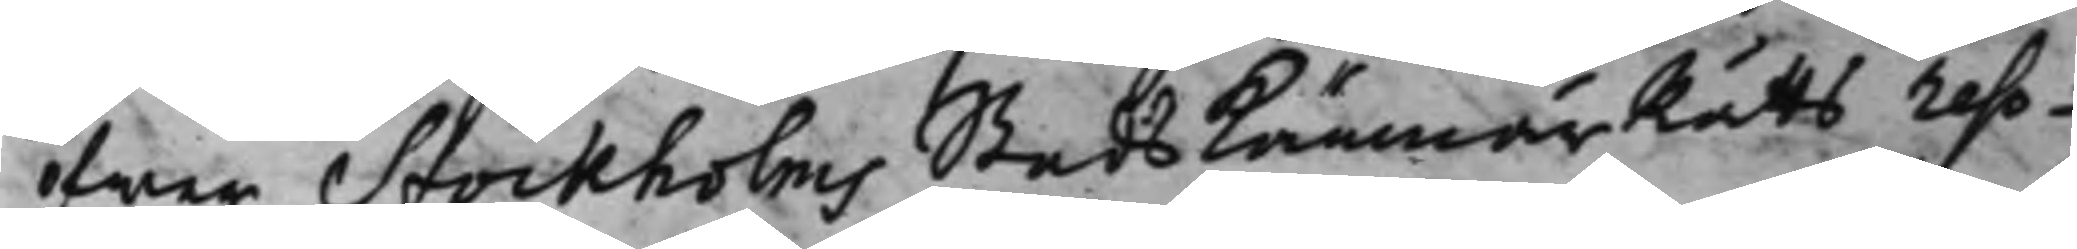ifrån Stockholm Stads KämnärsRätts reso¬
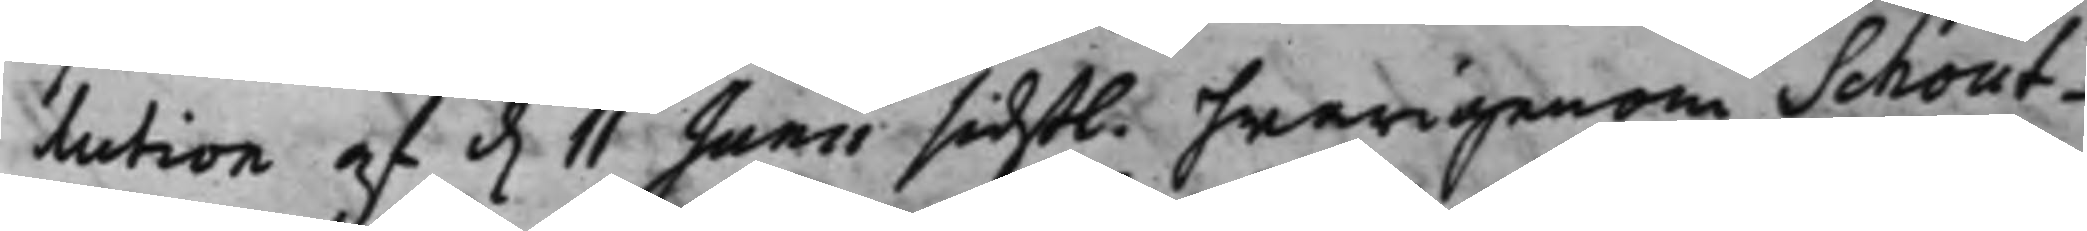lution af d. 11 Junii sidstl. hwarigenom Schout¬
